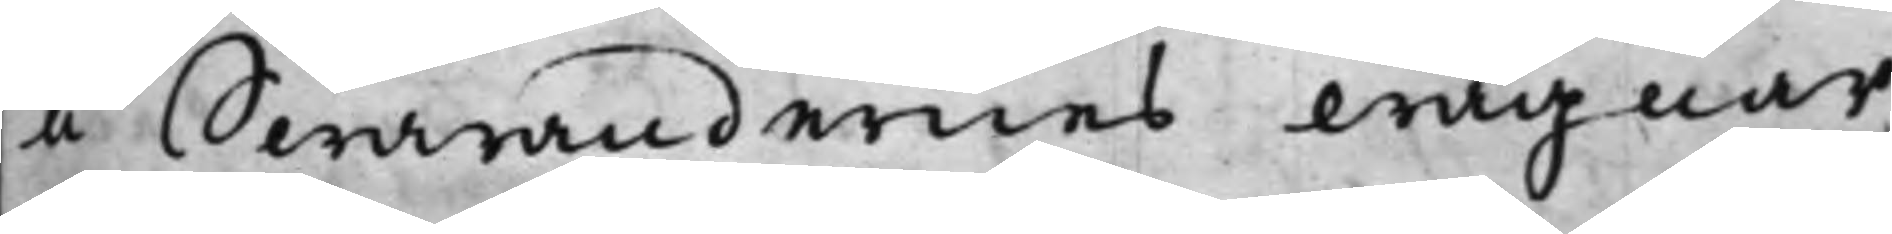å Swarandernes wägnar,
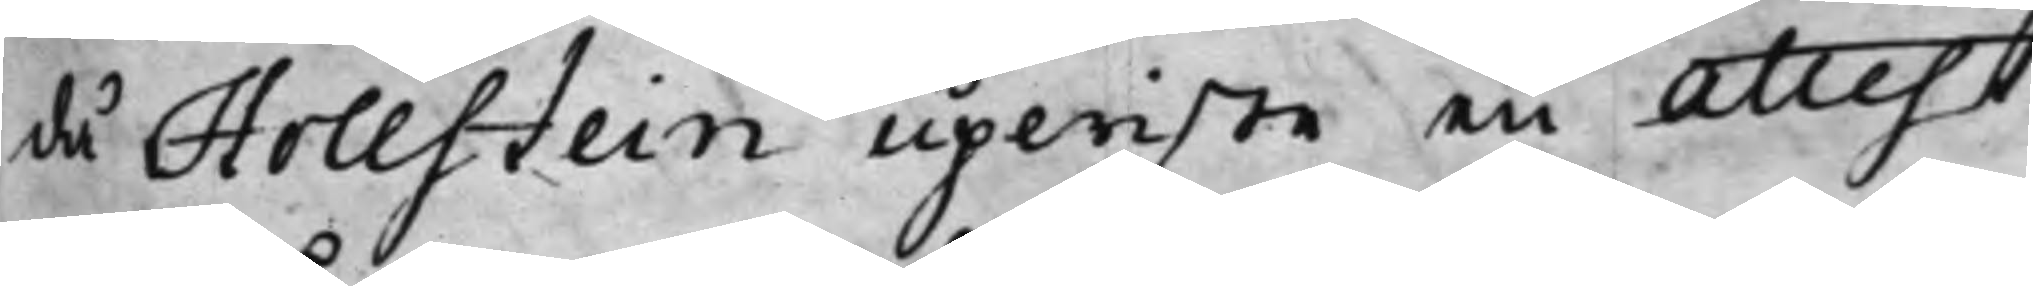då Hollstein upwiste en attest
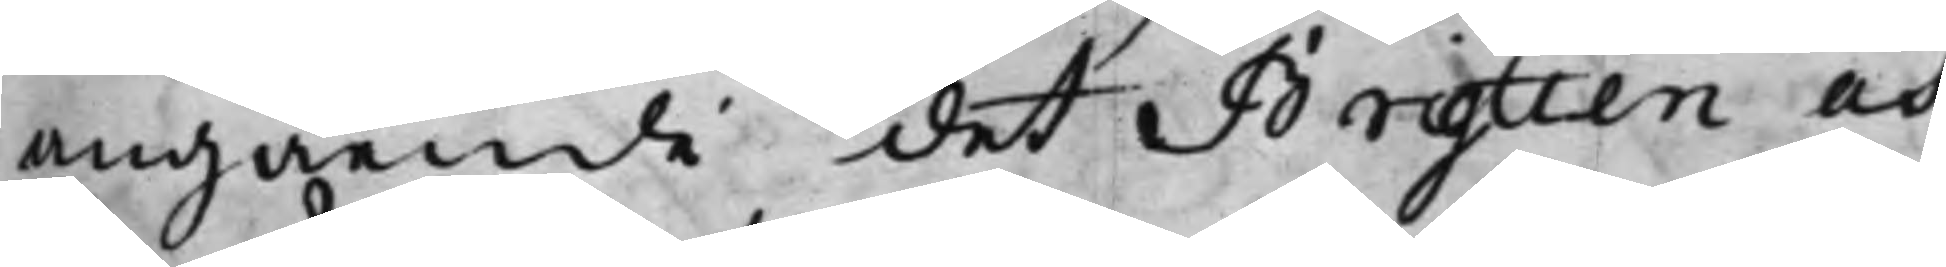angående det Brytten och
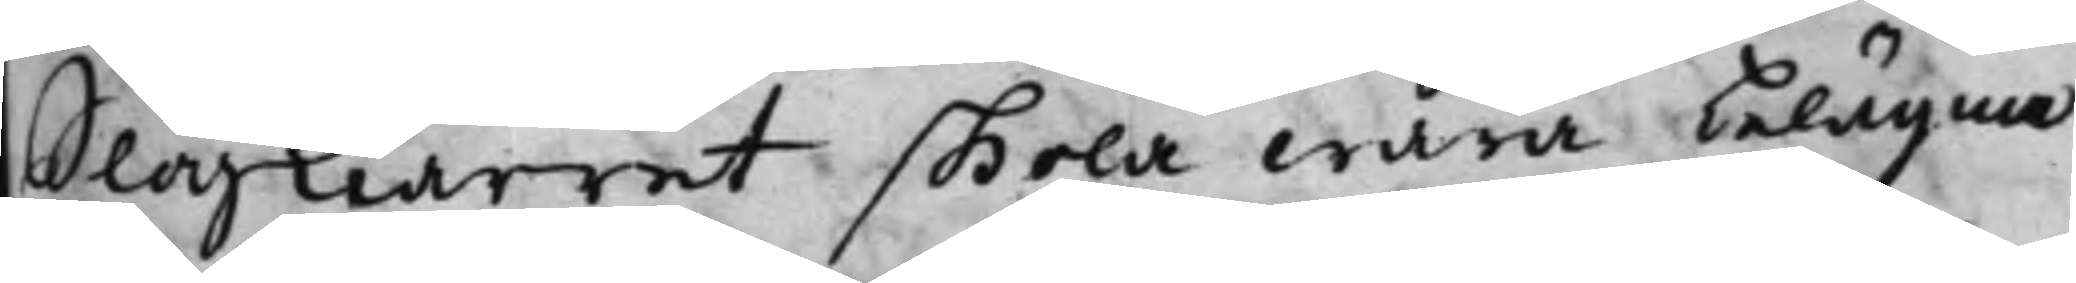Slogkiärret skola wara belägna
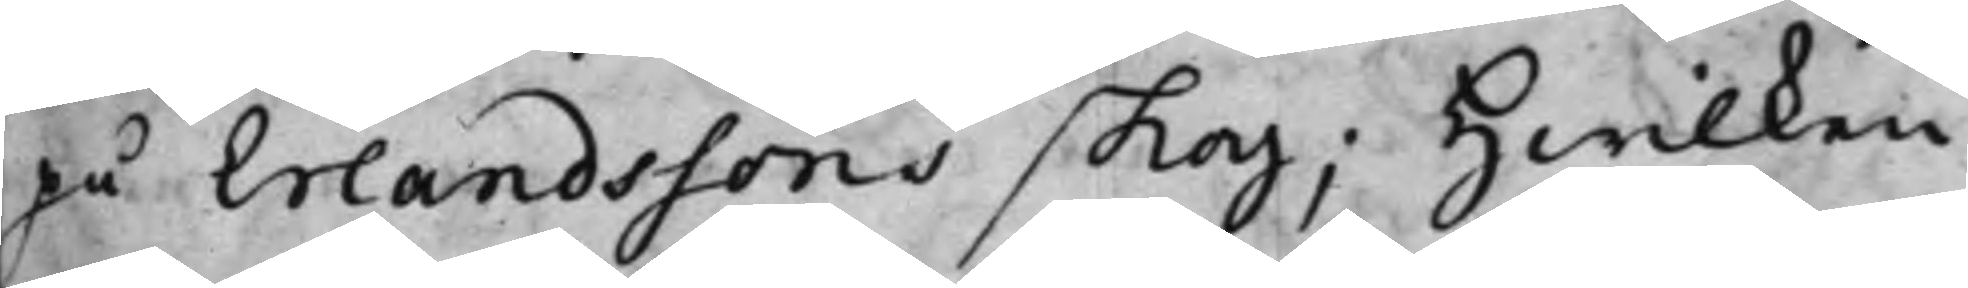på Erlandssons skog; Hwilken
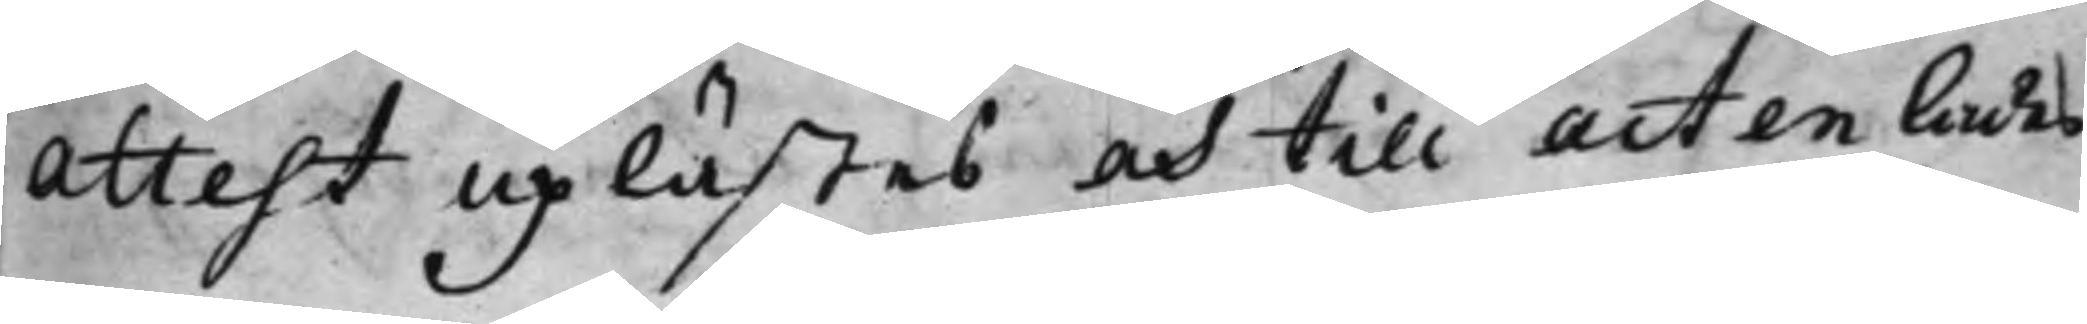Attest uplästes och till acten lades,
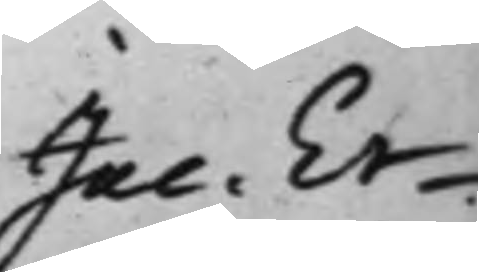Jac. Er¬
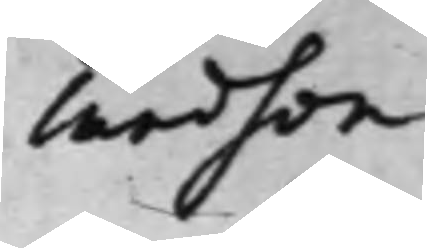landson
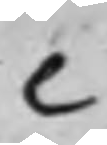C
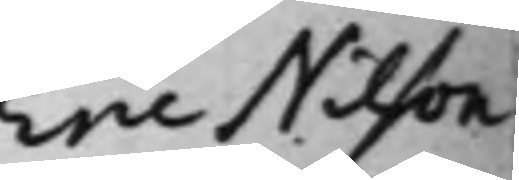Eric Nilson
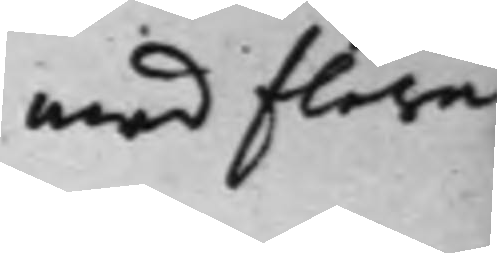med flera
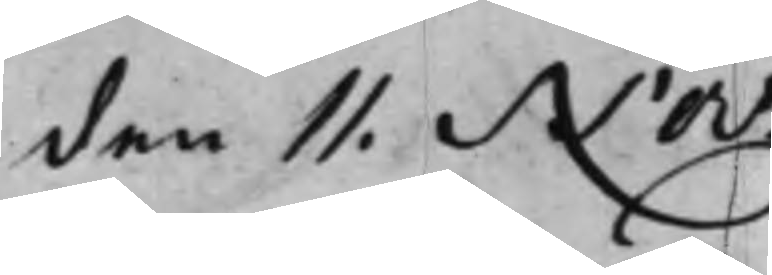den 11. Nov.
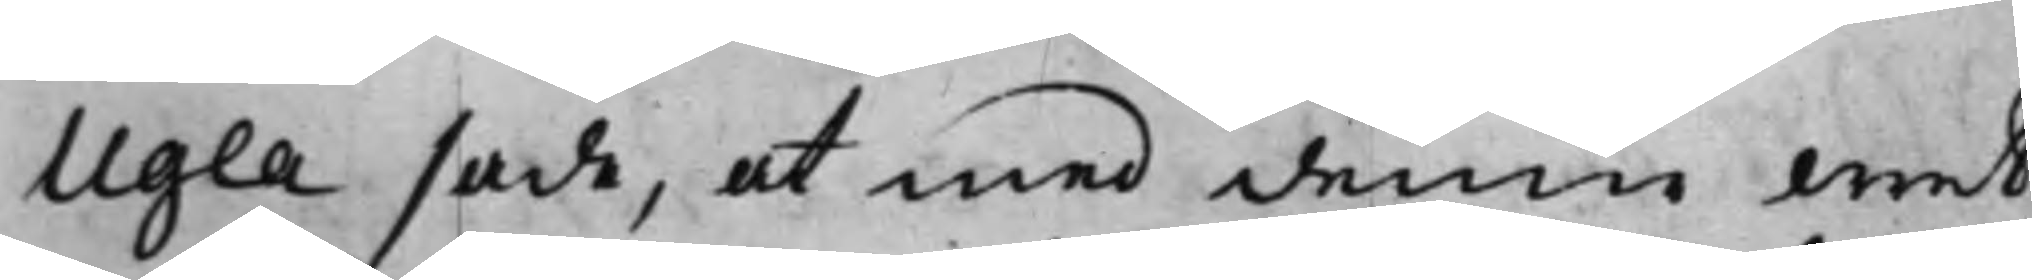Ugla sade, at med denne wret
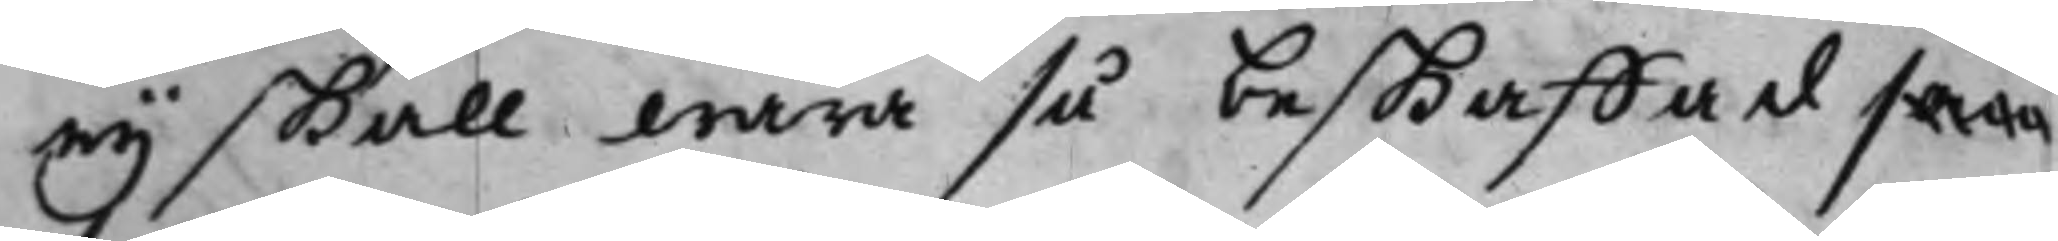ey skall wara så beskaffad som
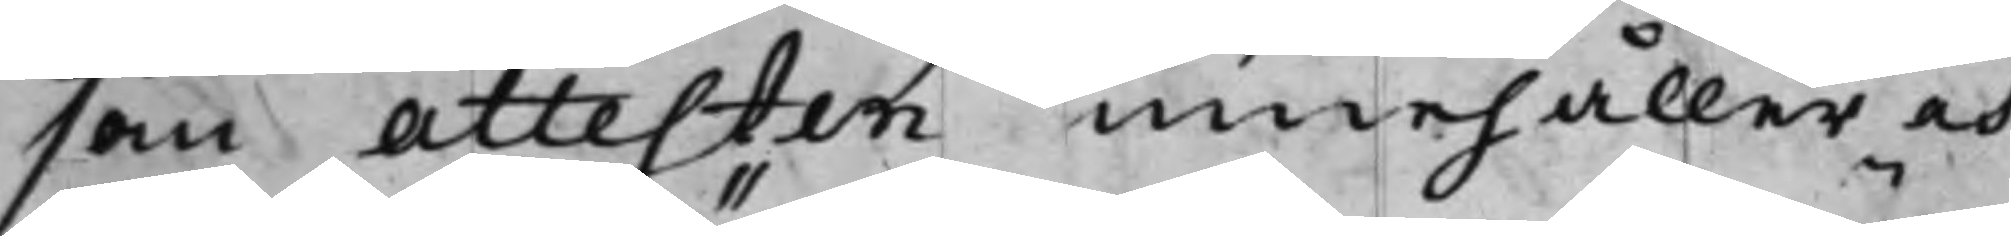som attesten innehåller och
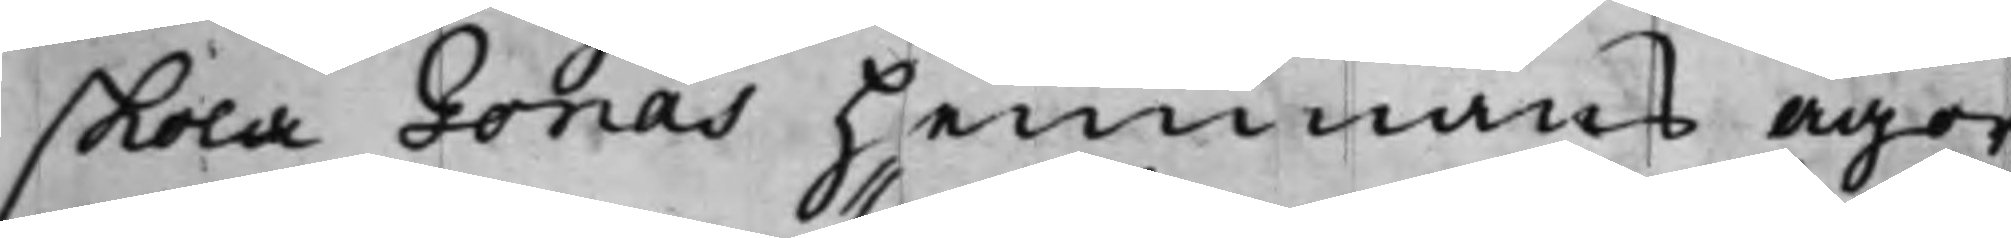skola Gonäs hemmans ägor
